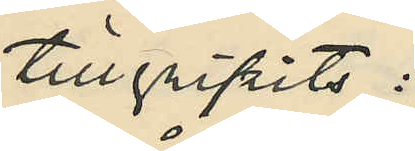tillgripits:
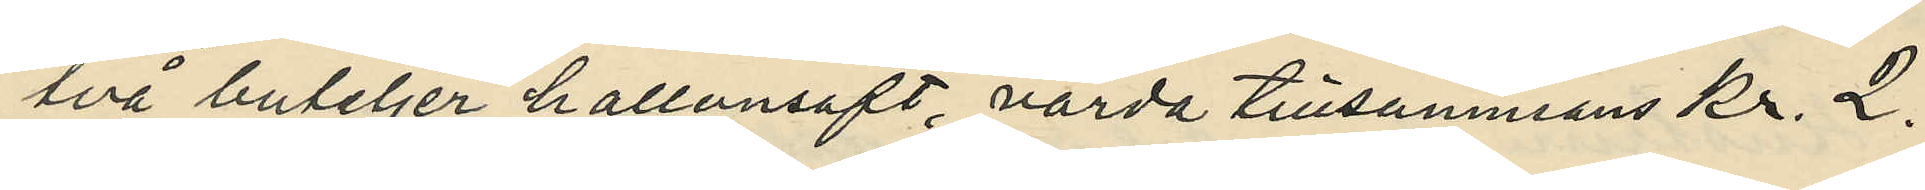två buteljer hallonsaft, värda tillsammans Kr. 2:
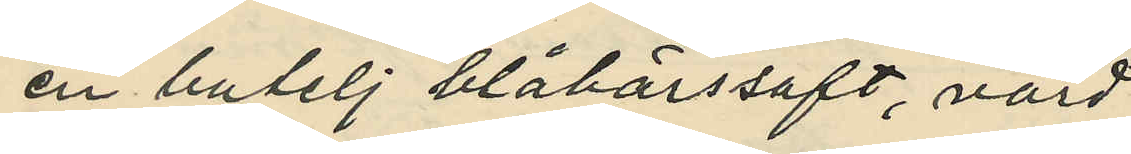en butelj blåbärssaft, värd
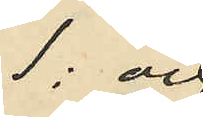1: och
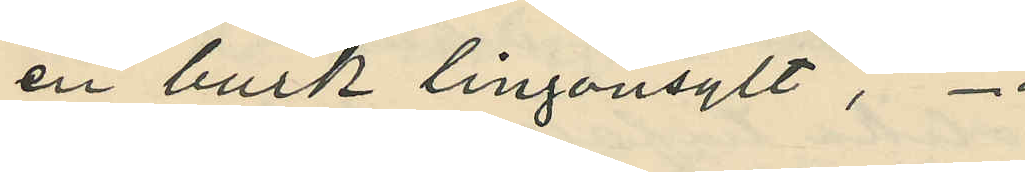en buik lingonsylt, -"
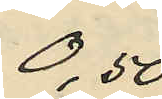0,50
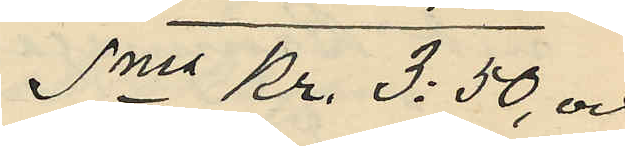Sma Kr. 3:50, och
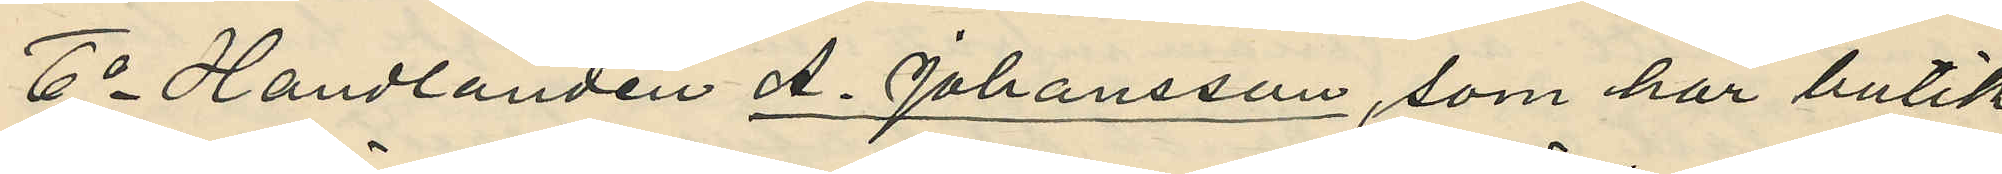6o Handlanden A. Johansson, som har butik
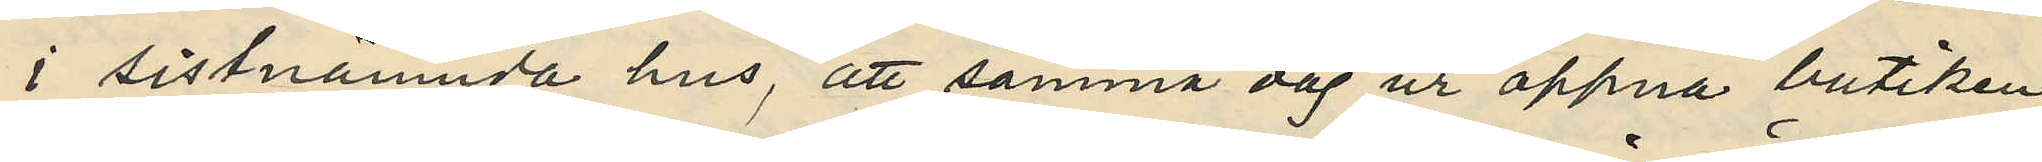i sistnämnda hus, att samma dag ur öppna butiken
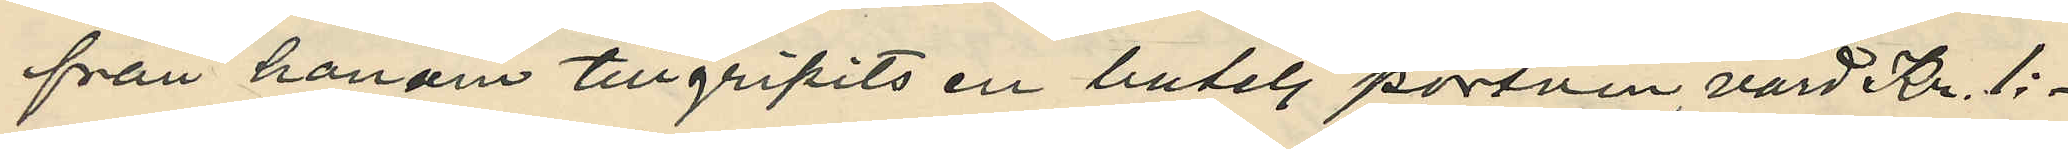från honom tillgripits en butelj portvin, värd Kr. 1:
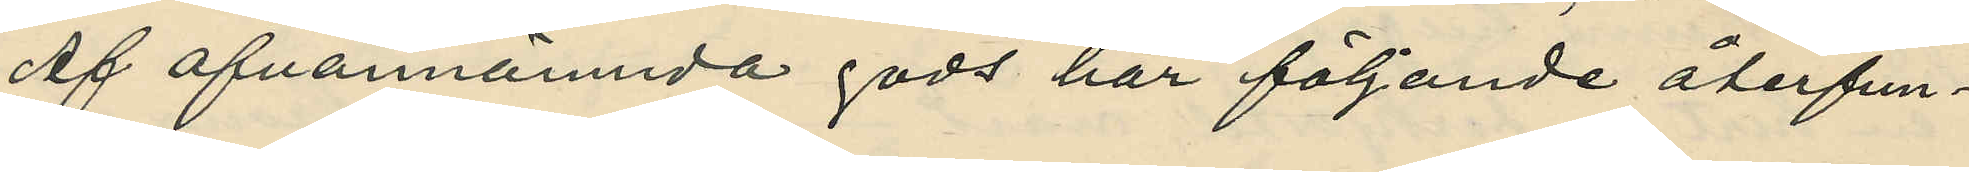Af ofvannämnda gods har följande återfun¬
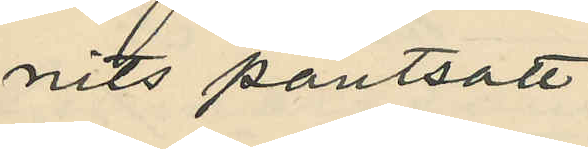nits pantsatt:
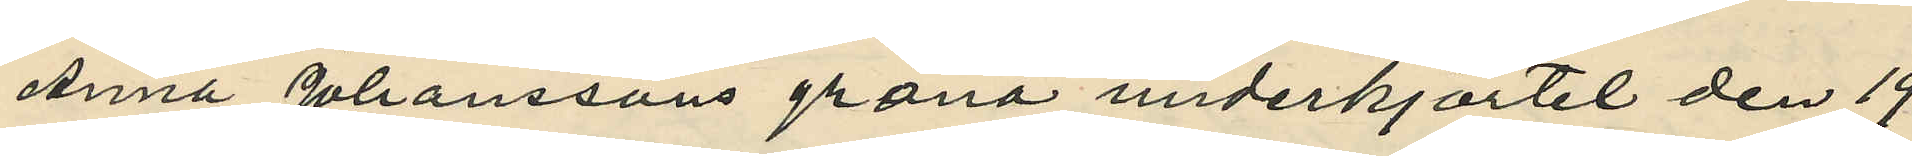Anna Johanssons gröna underkjortel den 19
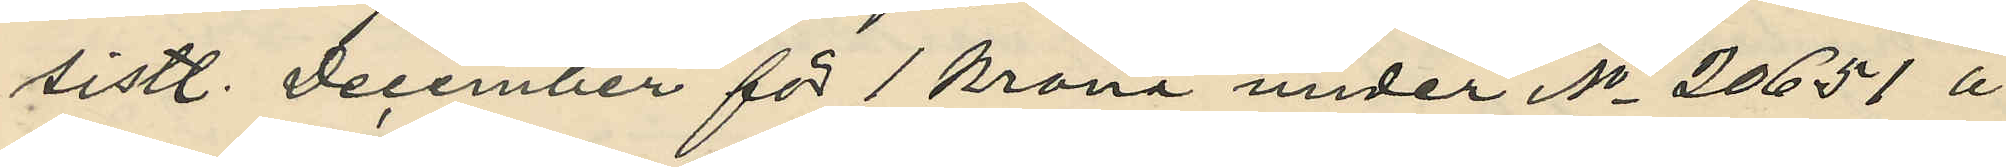sistl. December för 1 krona under No 20651 å
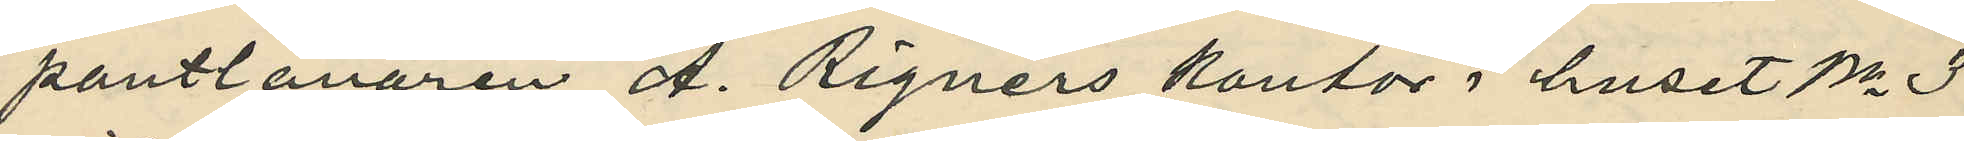pantlånaren A. Rignérs kontor i huset No 3
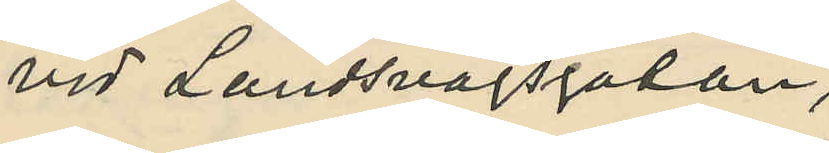vid Landsvägsgatan;
